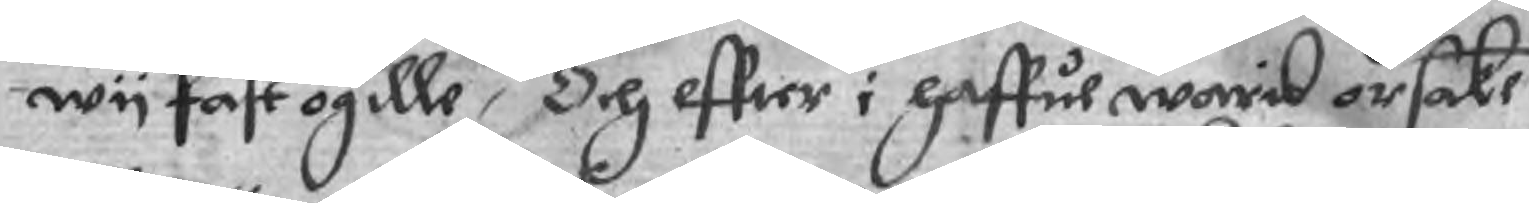wy fast ogille, Och effter i haffue warit orsake
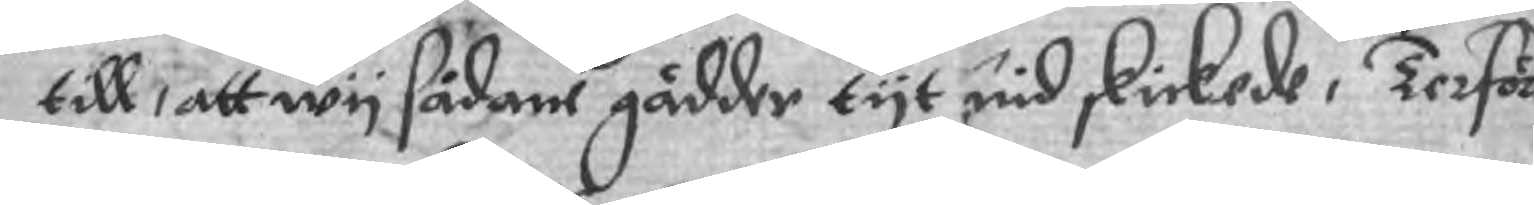till, att wy sådane gädder tyt nid skickade, Terför
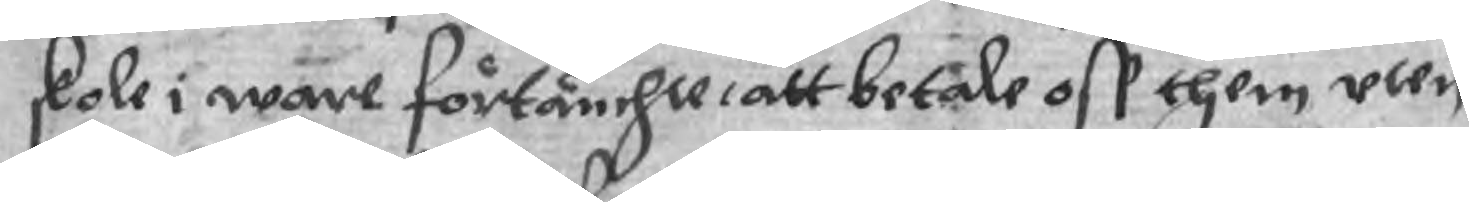skole i ware förtänchte, att betale oss them uten
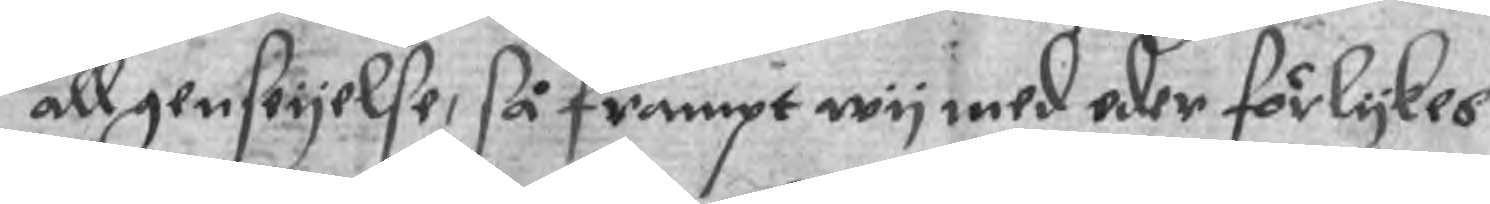all genstyelse, så frampt wy med eder förlykes
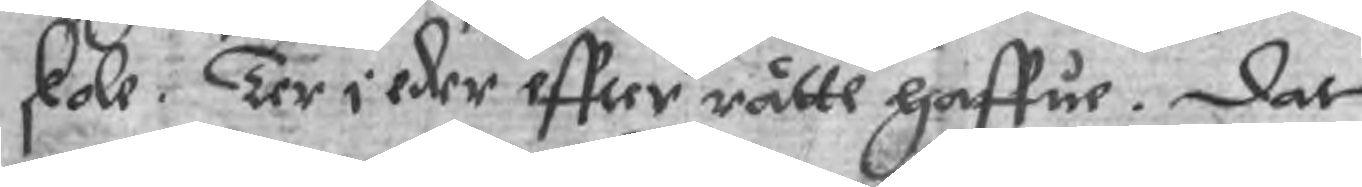skole. Ter i eder effter rätte haffue. Dat
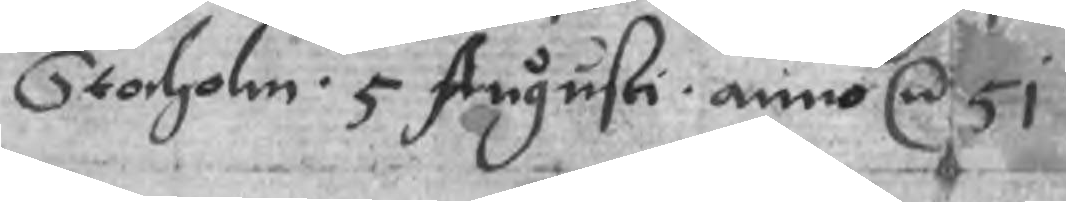Stocholm. 5 Augusti. anno r 51.
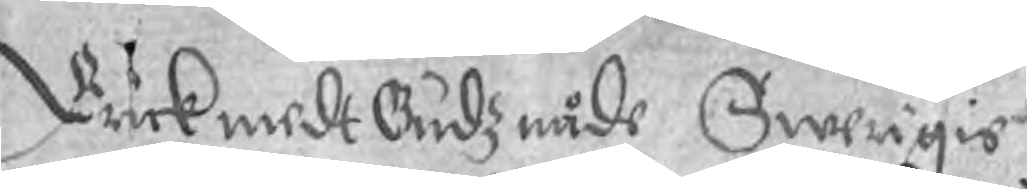Erick medt Gudz nåde Swerigis
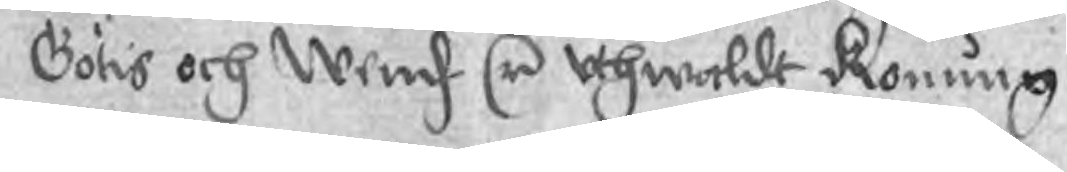Götis och Wendz r uthwaldt Konung
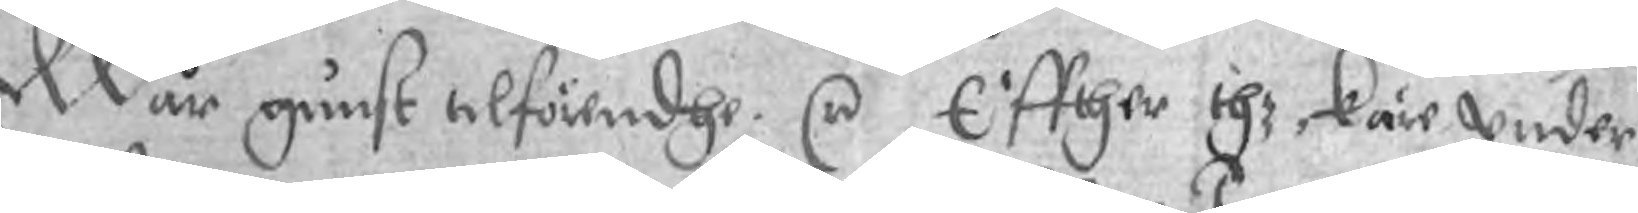Wår gunst tilförendhe. r Effther thz, käre under¬
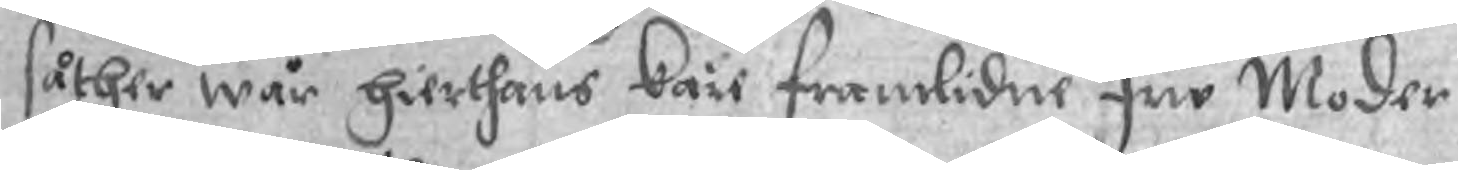såther wår hierthans käre framlidne fru Moder
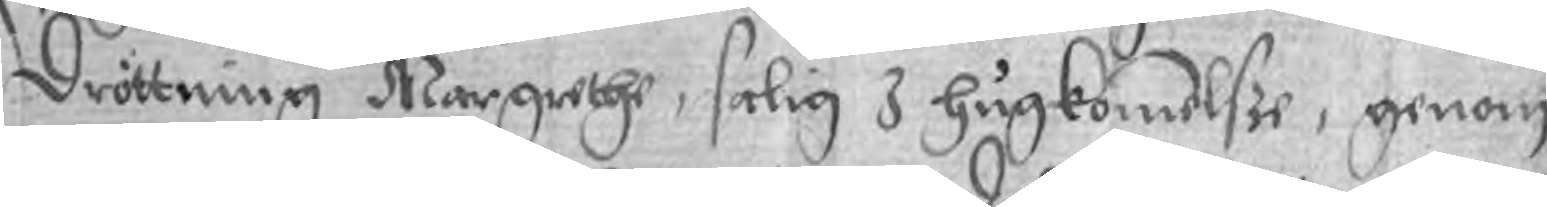Drottning Margrethe, salig I hugkomelsze, genom
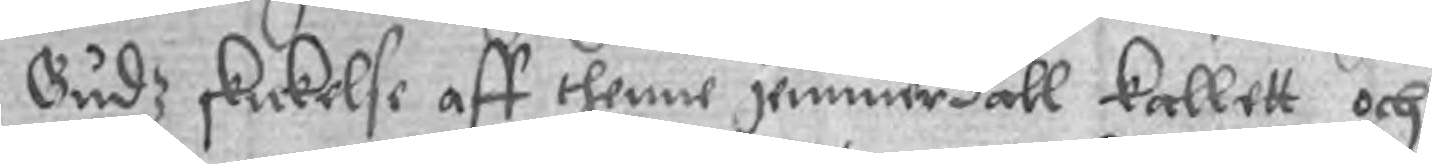Gudz skickelse aff thenne jemmerdall kallett och
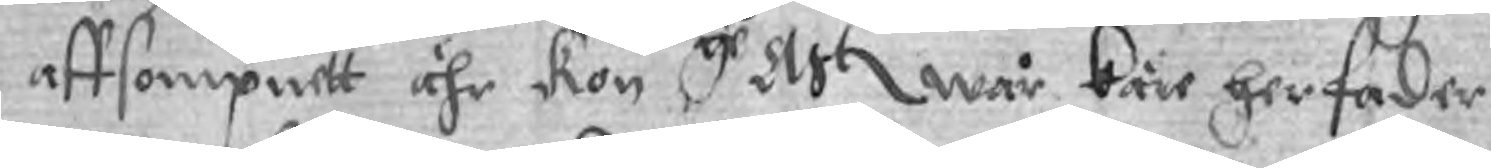affsompnett ähr kon gr  Uht wår käre her fader
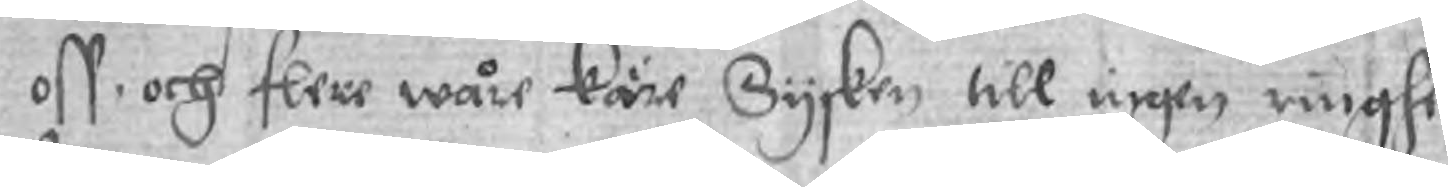oss och flere wåre käre Sysken till ingen ringhe
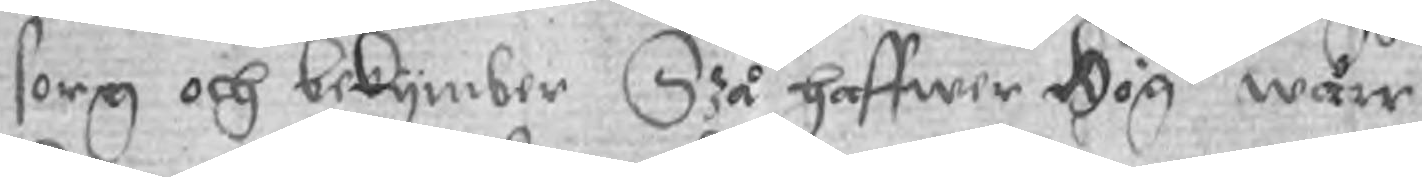sorg och bekymber Szå haffwer Högte wårr
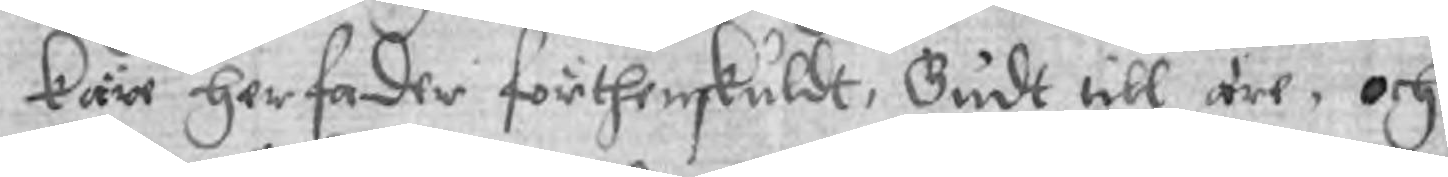käre her fader förthenskuldt, Gudt till äre, och
